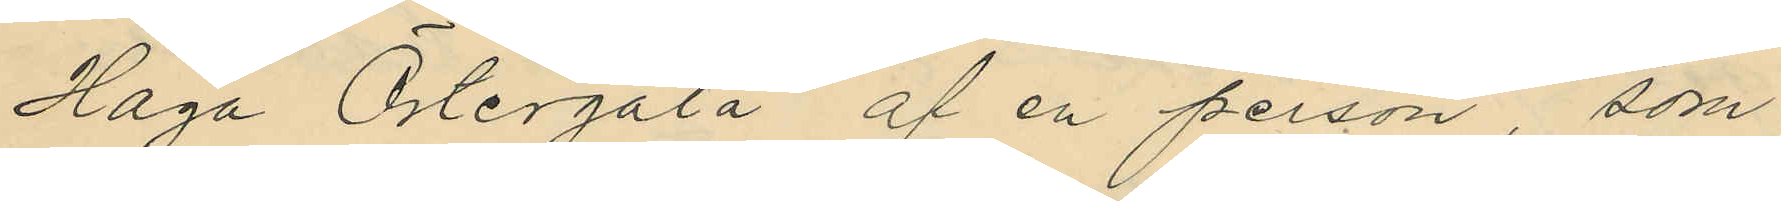Haga Östergata af en person som
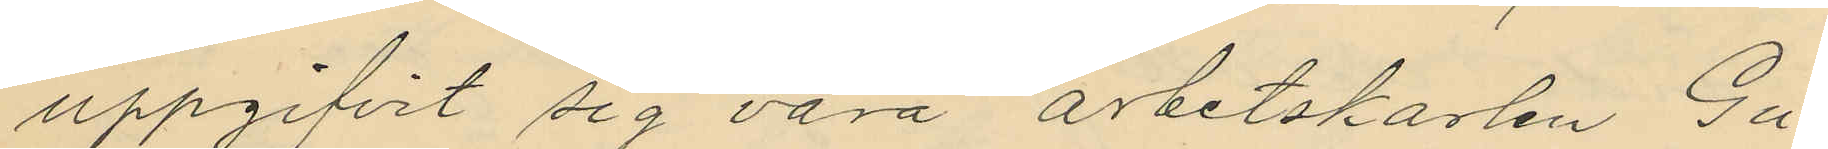uppgifvit sig vara arbetskarlen Gu¬
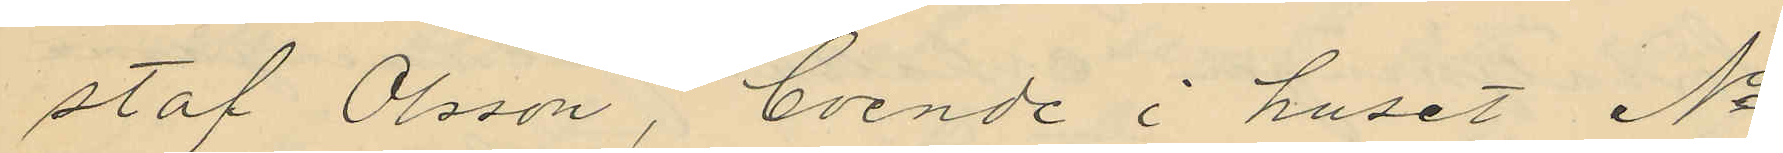staf Olsson, boende i huset No
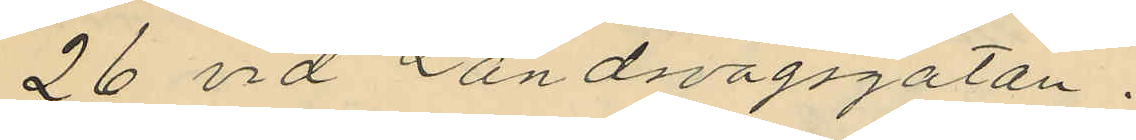26 vid Landsvägsgatan.
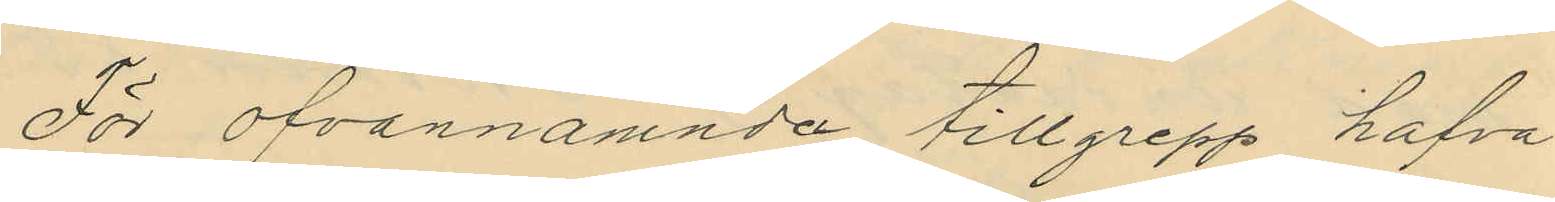För ofvannämnda tillgrepp hafva
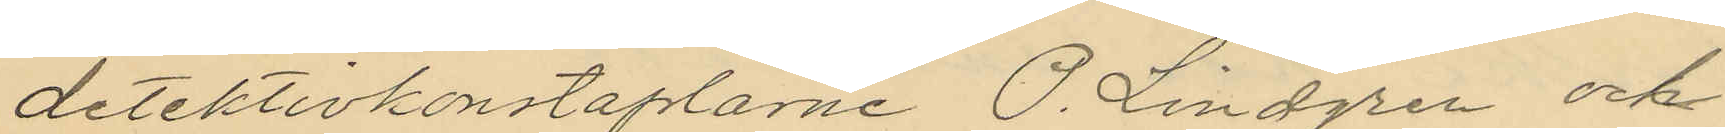detektivkonstaplarne O. Lindgren och
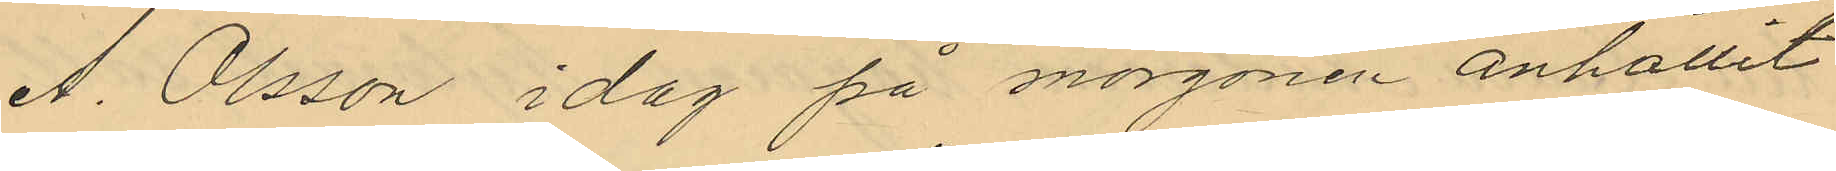A. Olsson i dag på morgonen anhållit
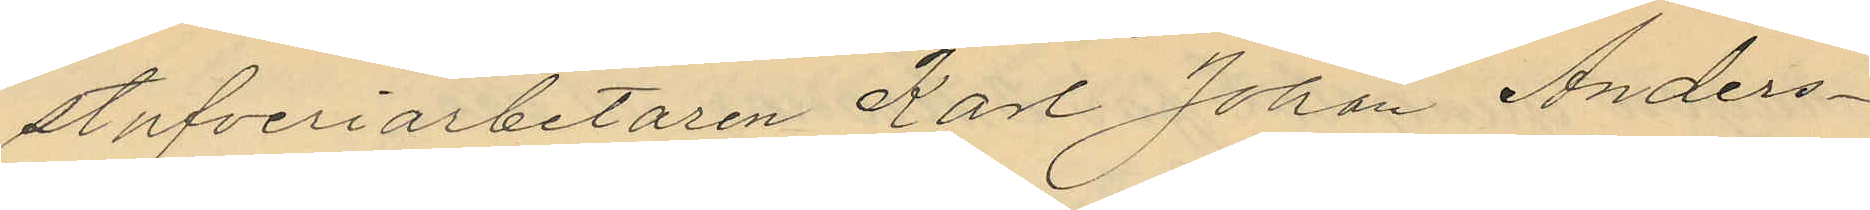stufveriarbetaren Karl Johan Anders¬
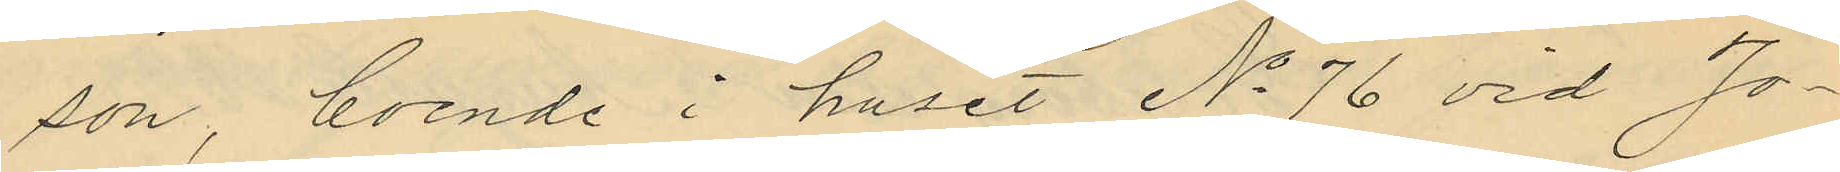son, boende i huset No 76 vid Jo¬
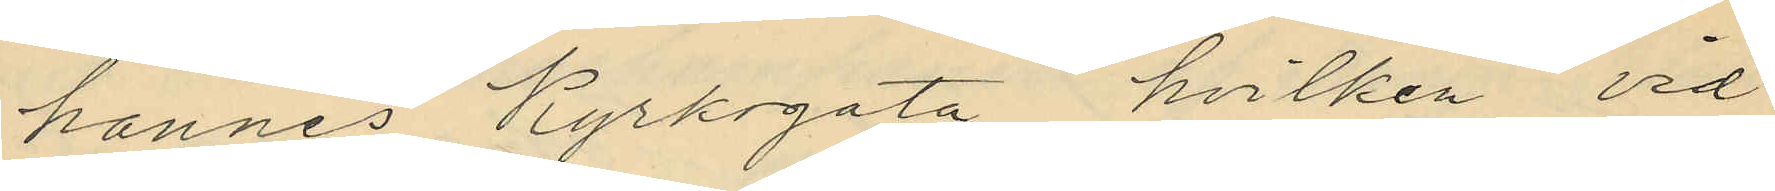hannes Kyrkogata, hvilken vid
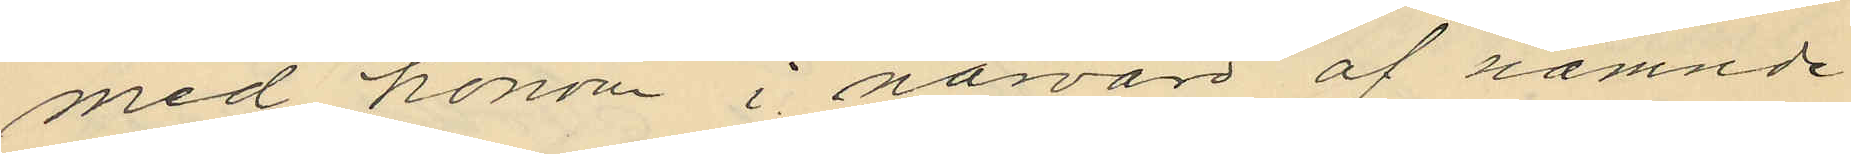med honom i närvaro af nämnde
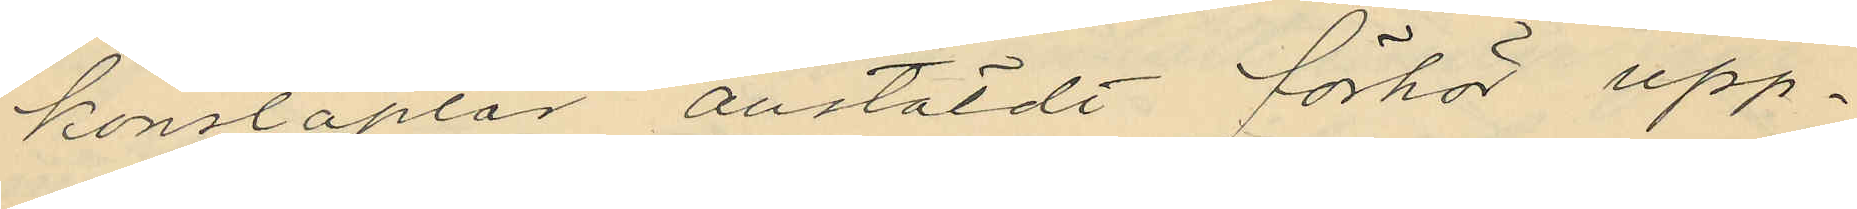konstaplar anstäldt förhör upp¬
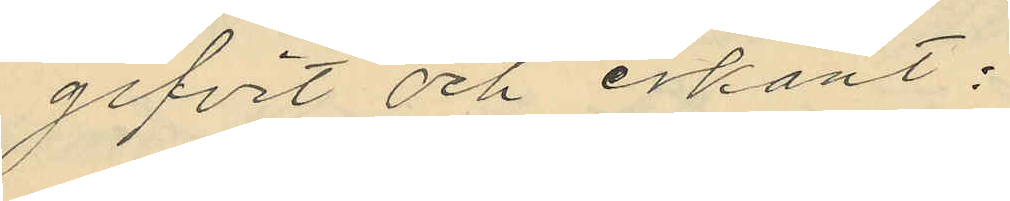gifvit och erkänt:
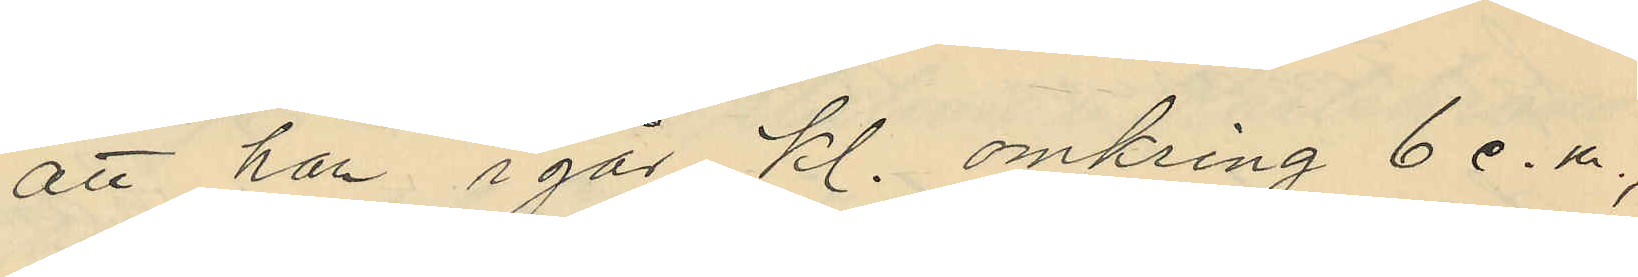att han igår kl. omkring 6 e.m.,
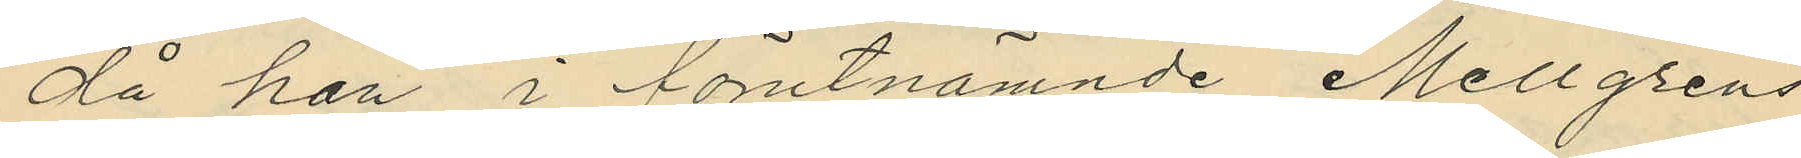då han i förutnämnde Mellgrens
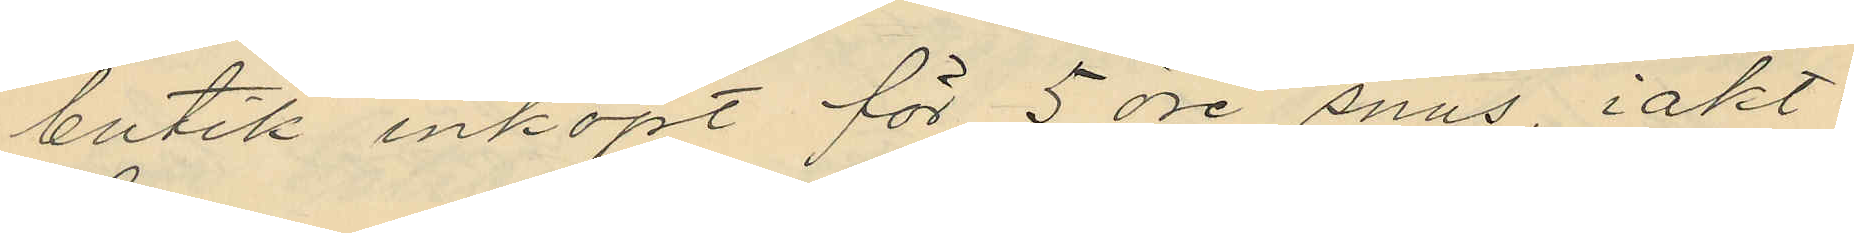butik inköpt för 5 öre snus, iakt¬
